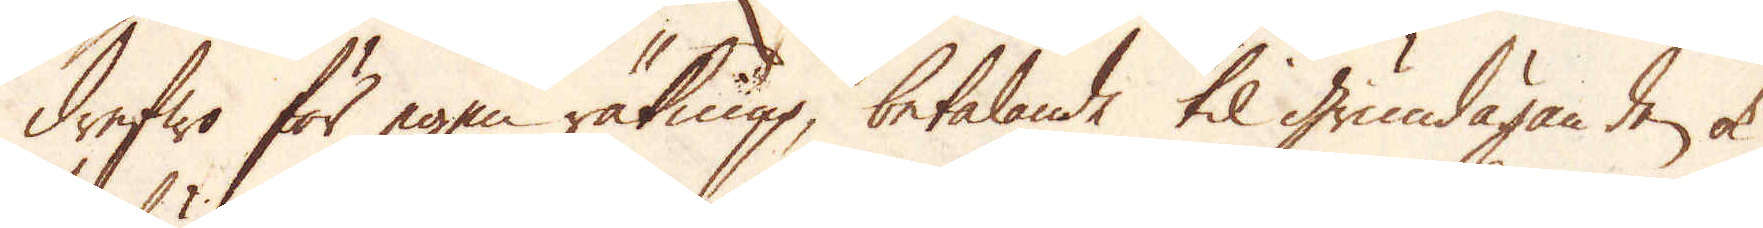drefwo för egen räkning, betalande til grundäganden ok
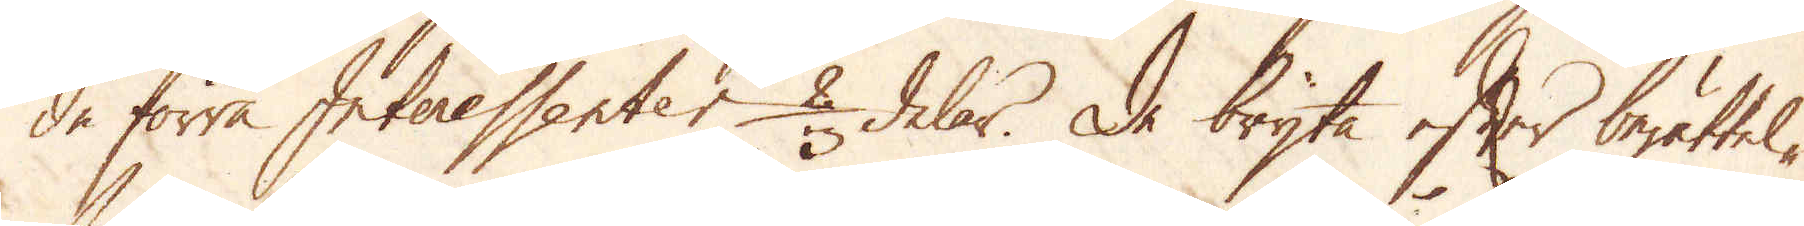de förra Interessenter 2/3 delar. De bryta efter berättel-
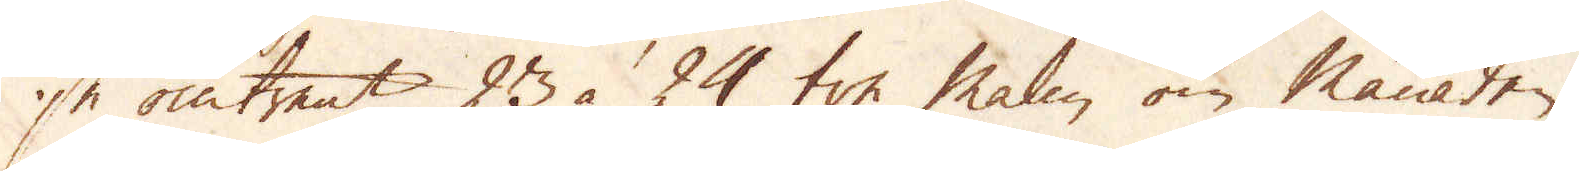se omtrent 23 à 24 ton malm om månaden.
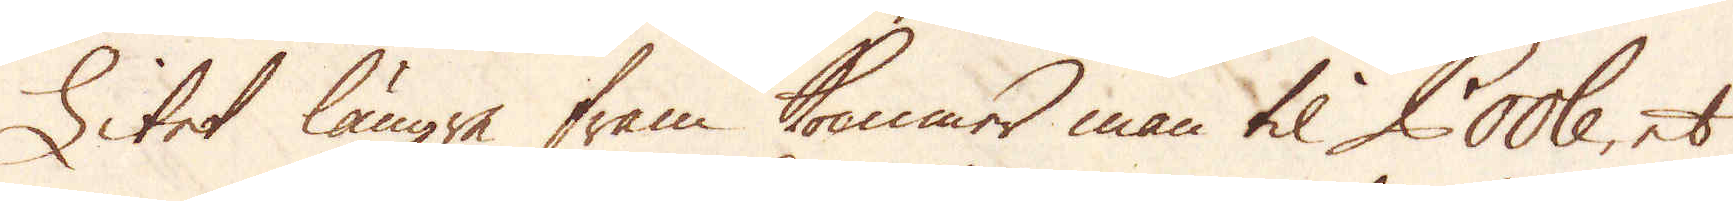Litet längre fram kommer man til Poole, et
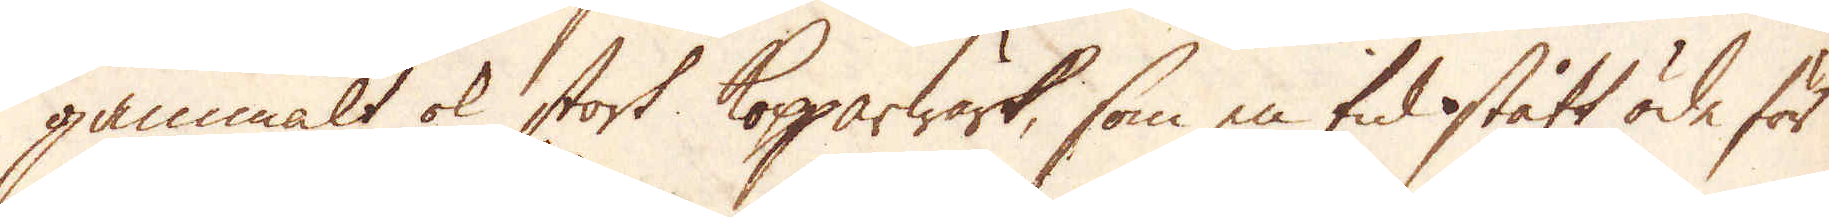gammalt ok stort Kopparwärk, som en tid stått öde för
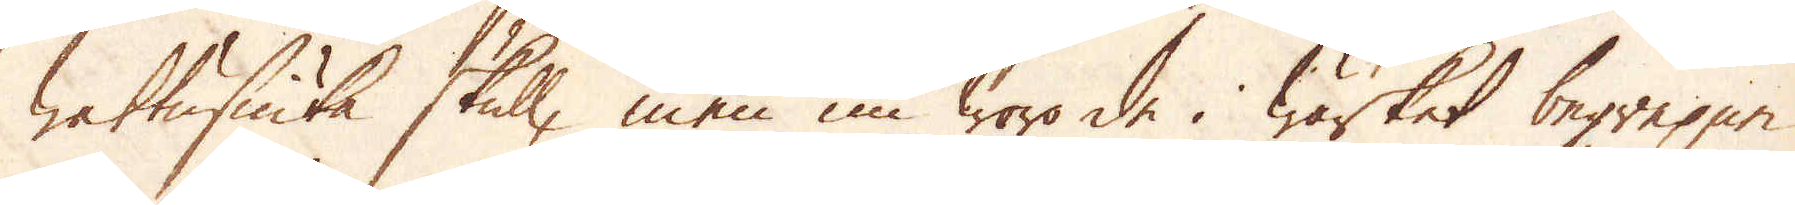wattusiuka skull, men nu woro de i wärket begrepne
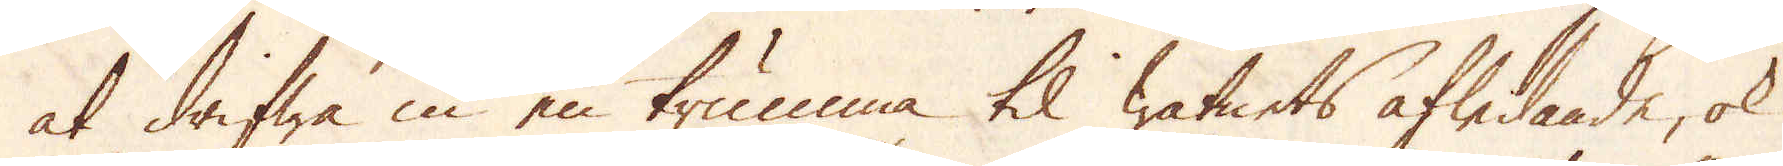at drifwa in en trumma til watnets afledande, ok
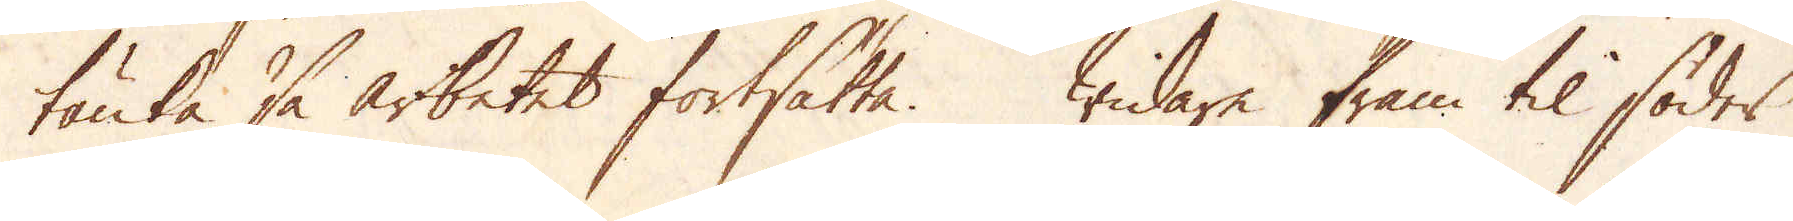tänka så arbetet fortsatta. Widare fram til söder
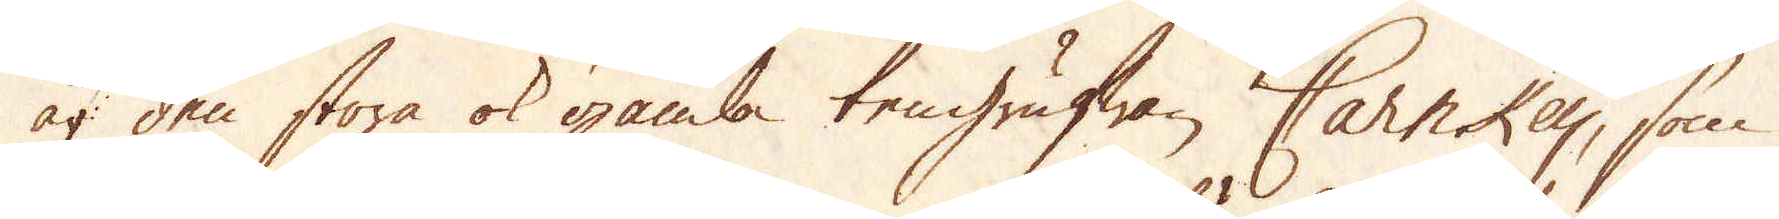är den stora ok gamla tengrufwan Carnkey, som
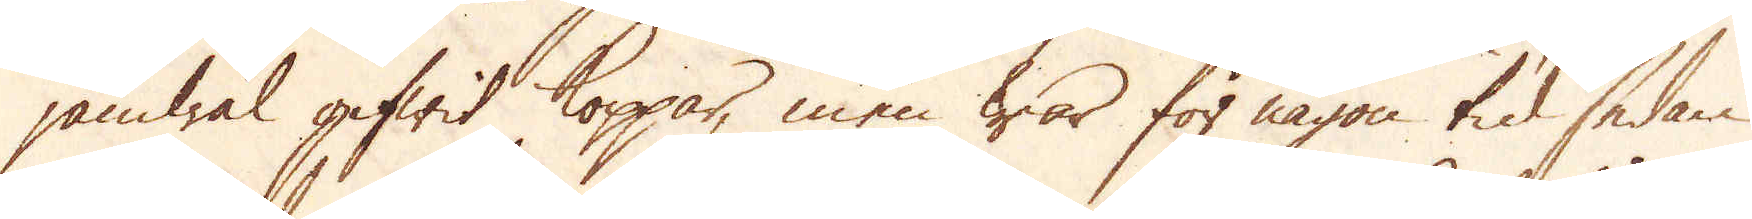jämwäl gifwit Koppar, men war för någon tid sedan
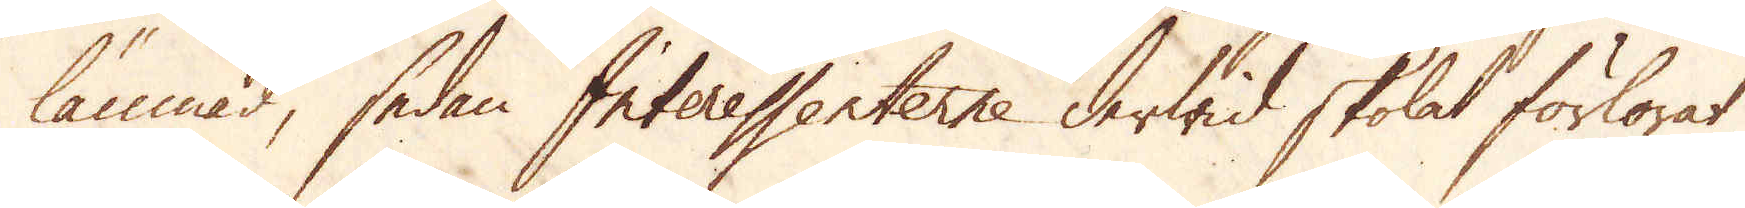lämnad, sedan Interessenterne derwid skolat förlorat
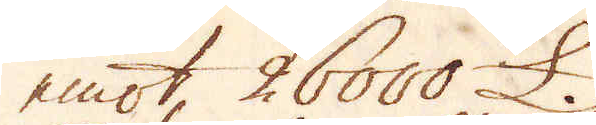emot, 26000 £.
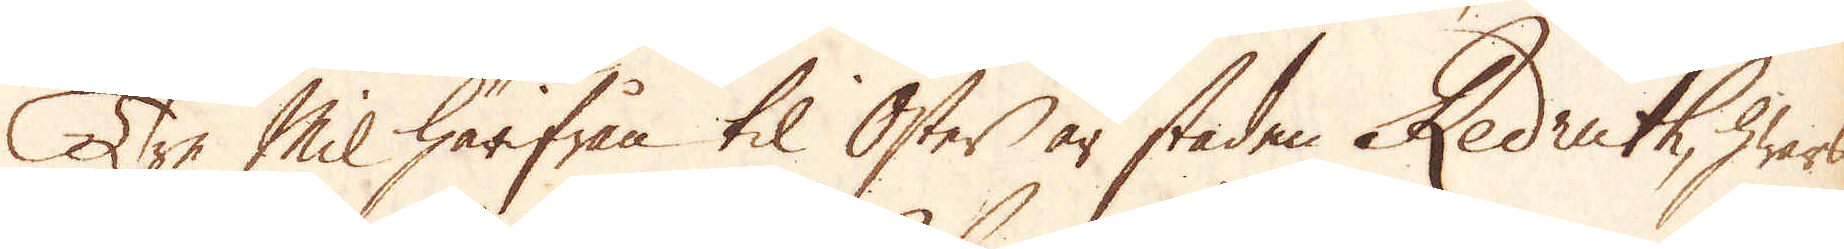Tre Mil härifrån til Öster är staden Redruth, hwars
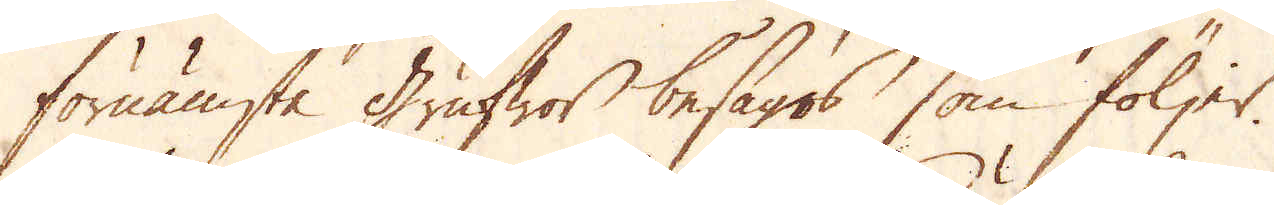förnämsta grufwor besågos som följer.
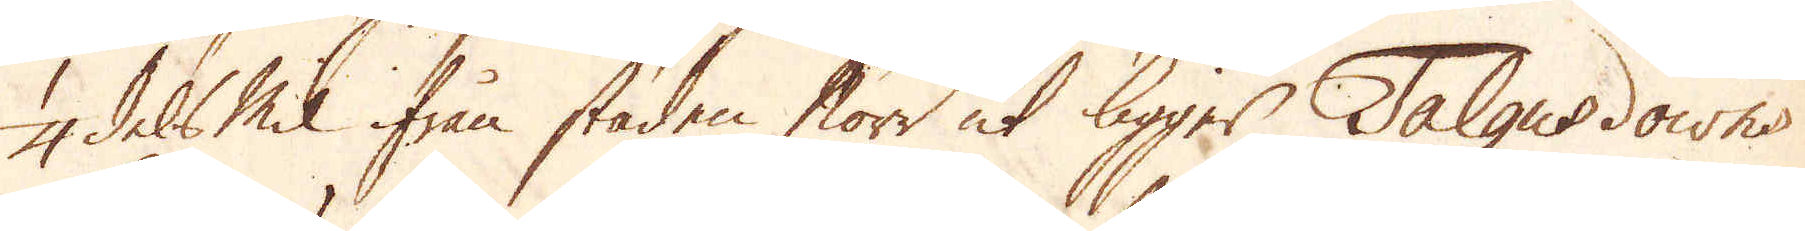1/4 dels mil ifrån staden Norr ut ligger Talgusdowns
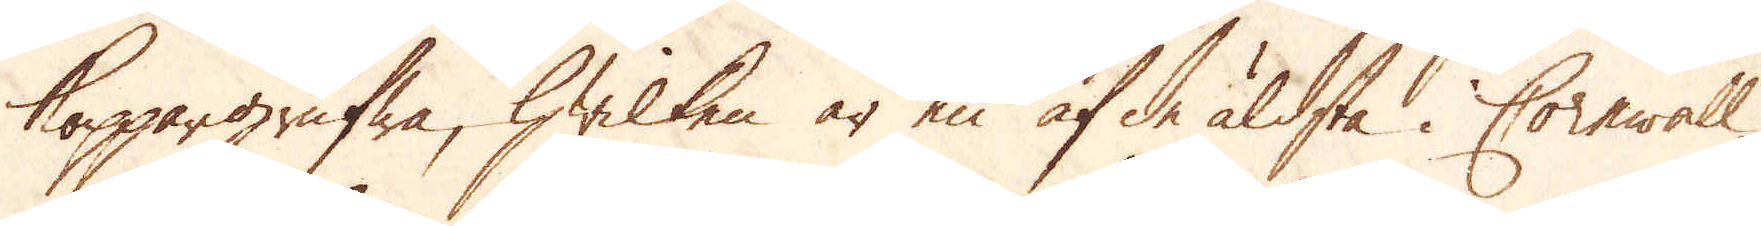Koppargrufwa, hwilken är en af de äldsta i Cornwall,
